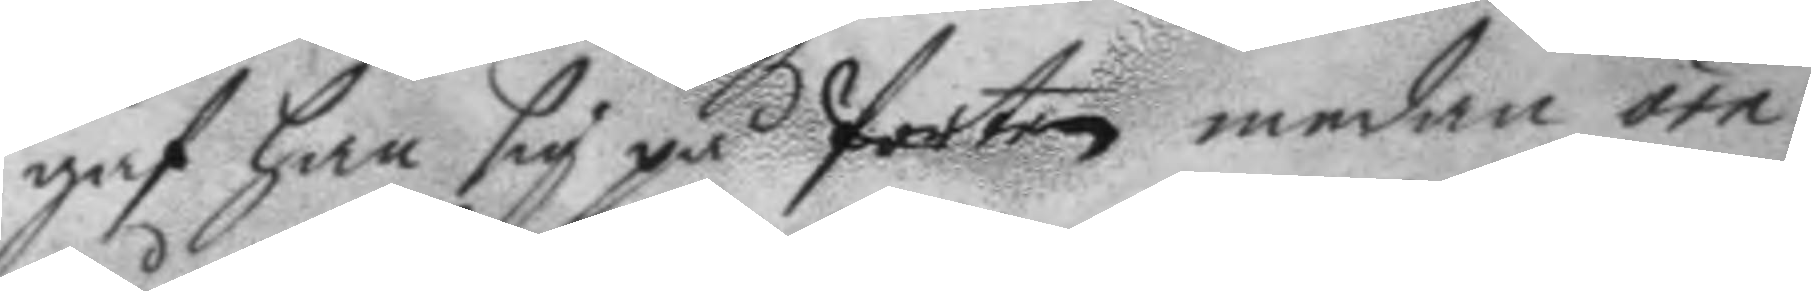gaf han sig på Porten medan örn
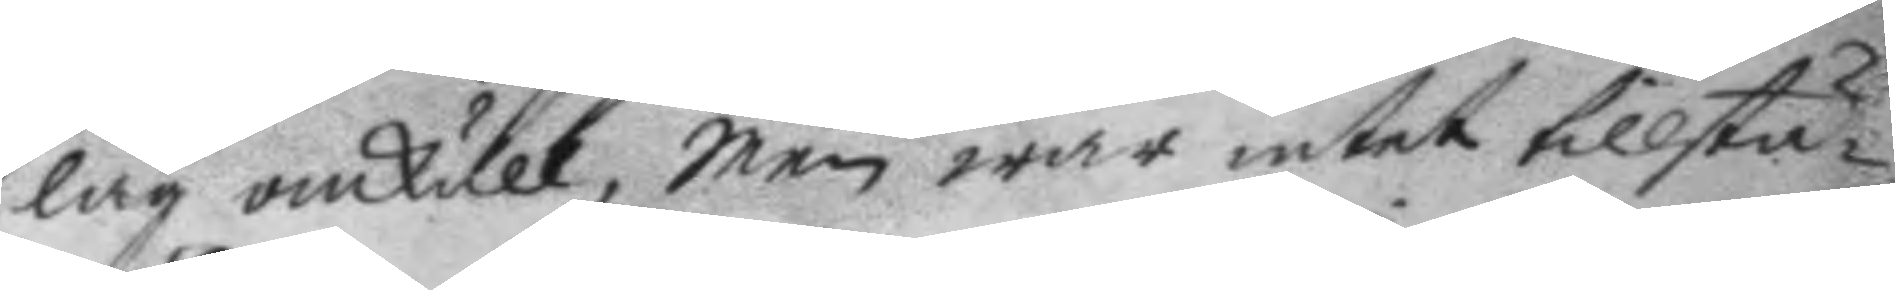låg omkull, Men war intet tillstä¬
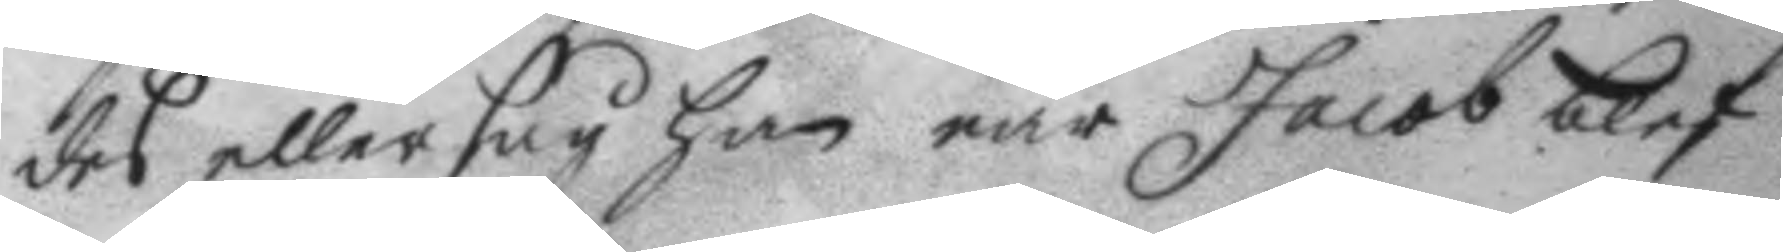des eller såg han när Jacob blef
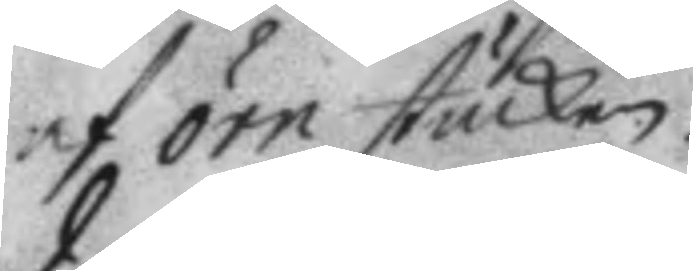af örn stucken.
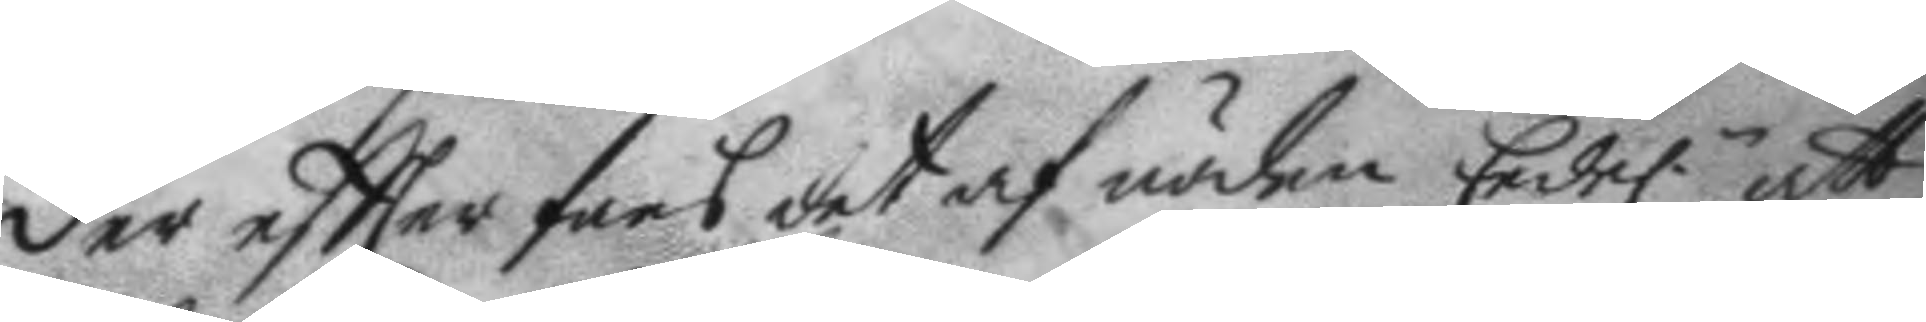Der eftter fans det af nöden Edel.n att
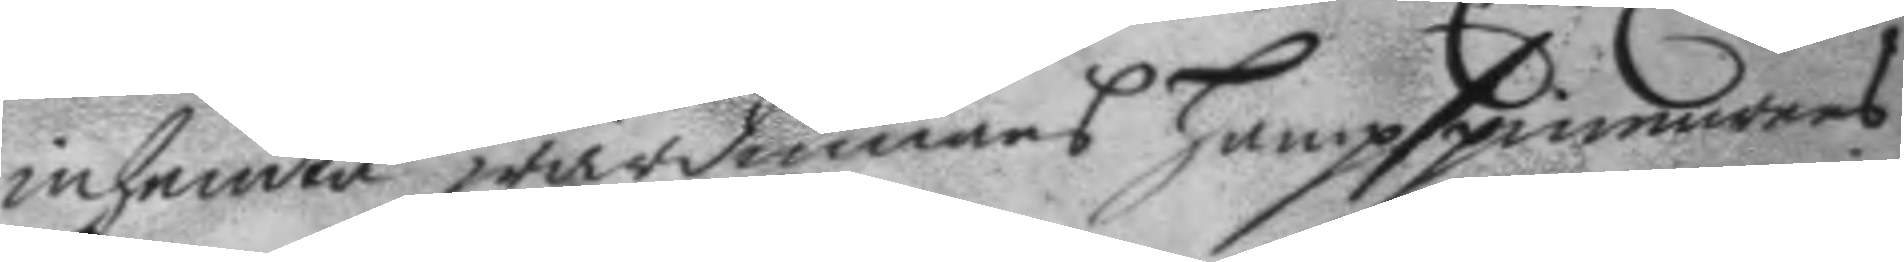inhemta wärdinnans hampspinnarens
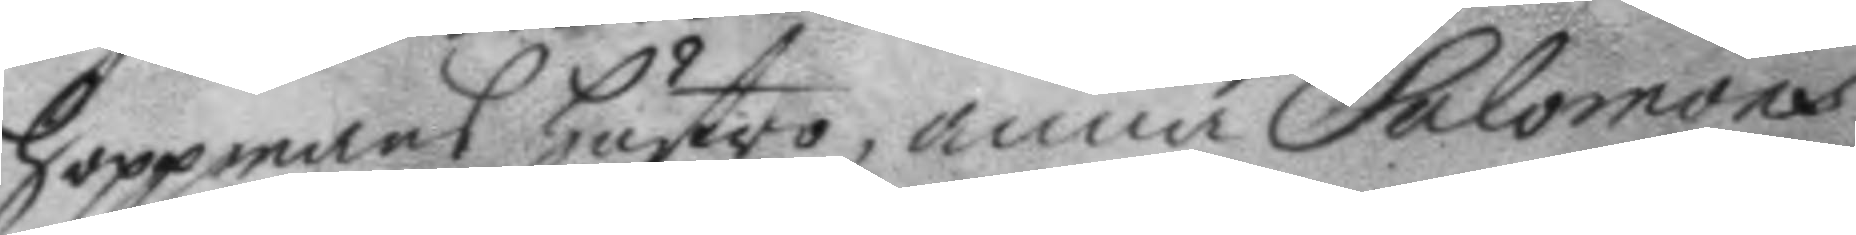hoppmans hustro, anna Salomons
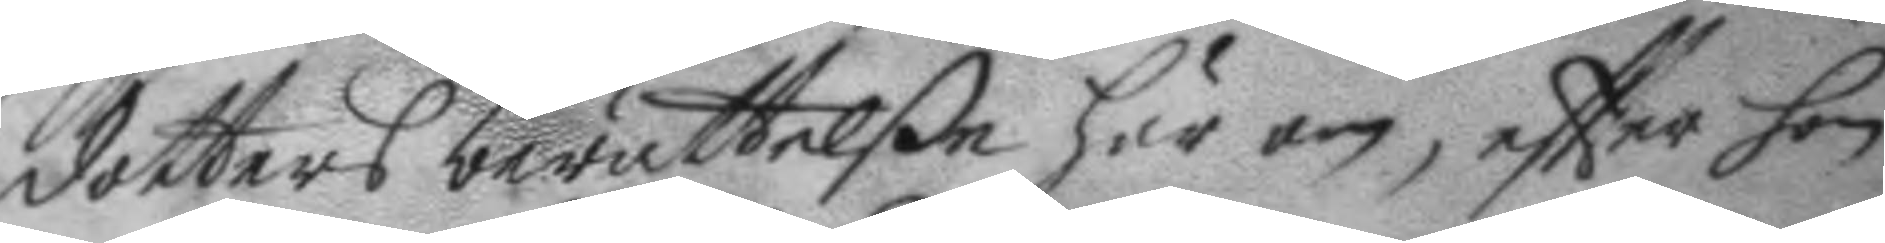dotters berättelße här om, eftter hon
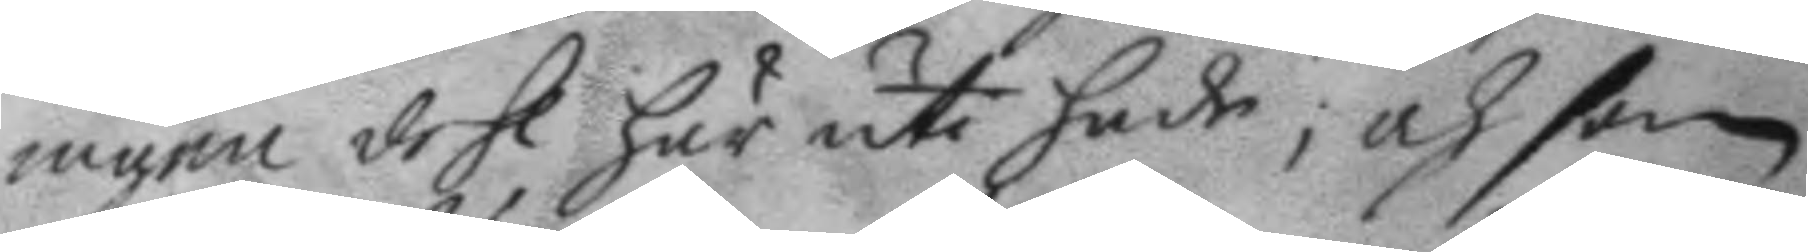ingen dehl här uti hade; och som
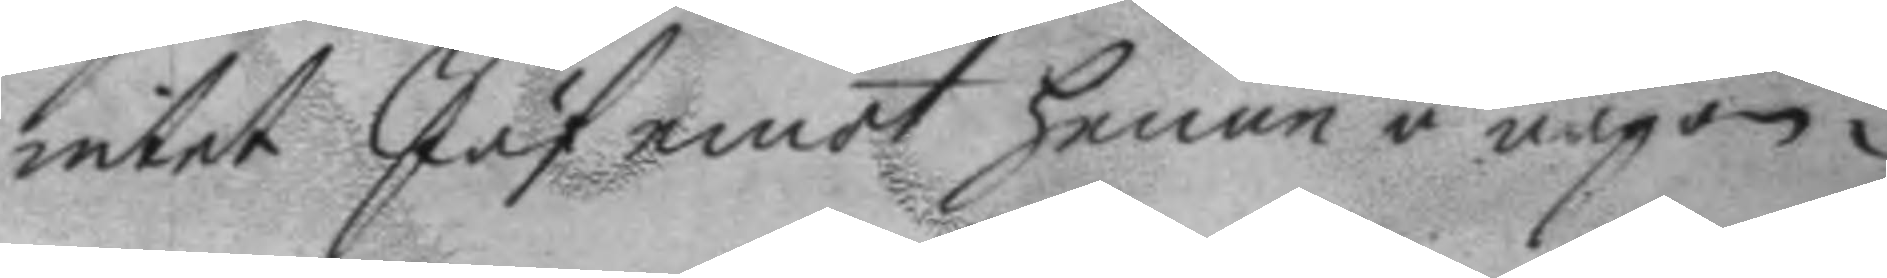intet Jäf emot henne någon¬
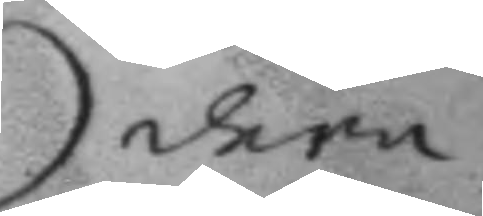dera
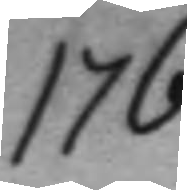176
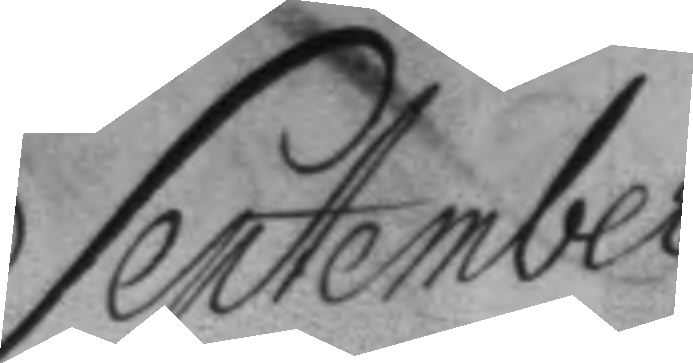September
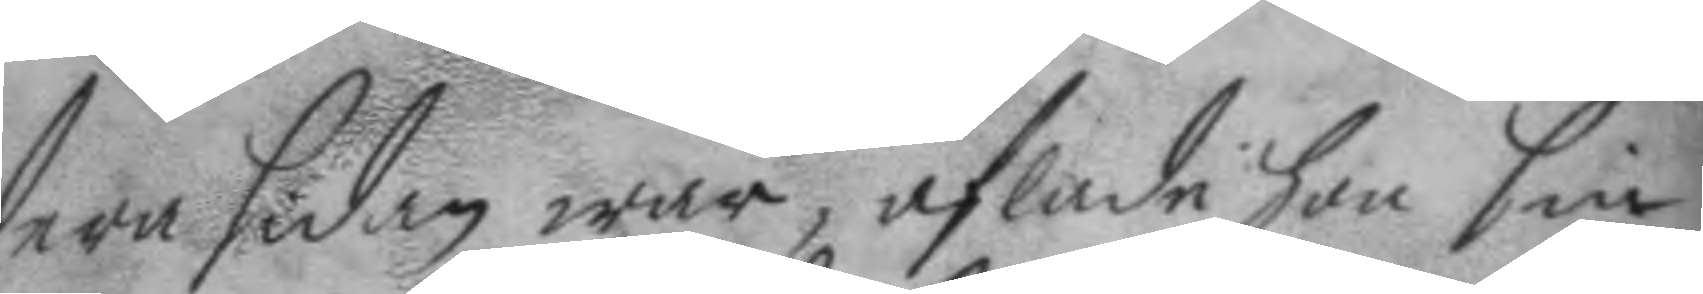dera sidan war, aflade hon sin
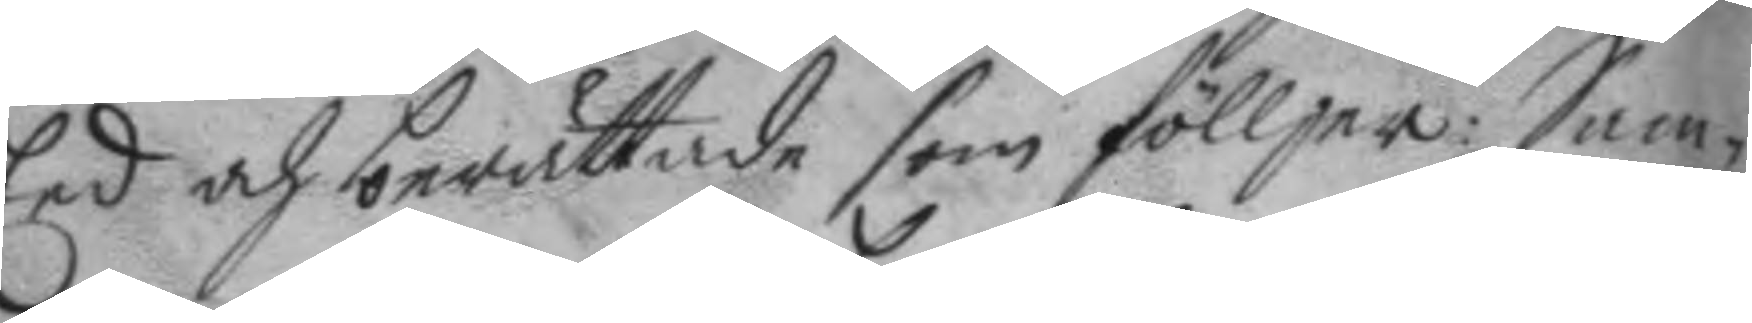Eed och berättade som fölljer: Sam¬
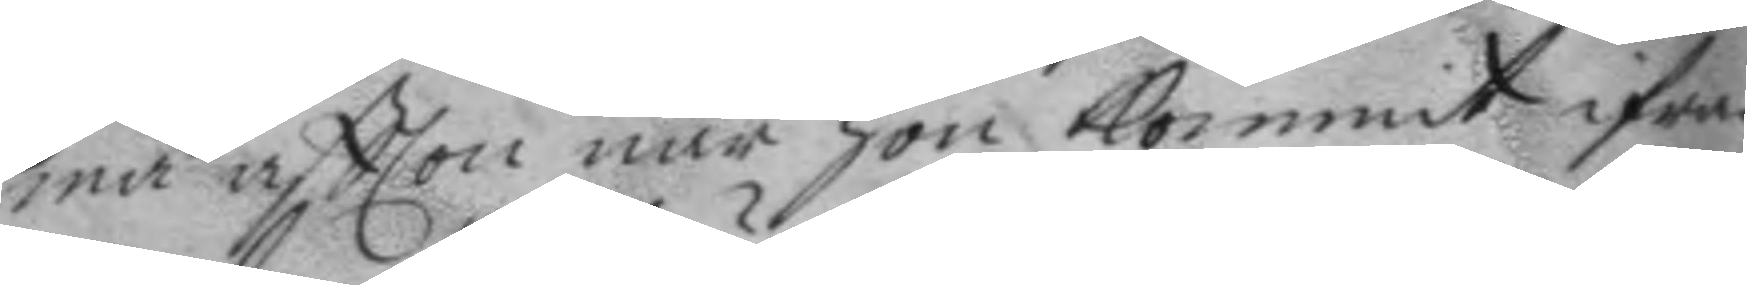ma aftton när hon kommit ifrån
